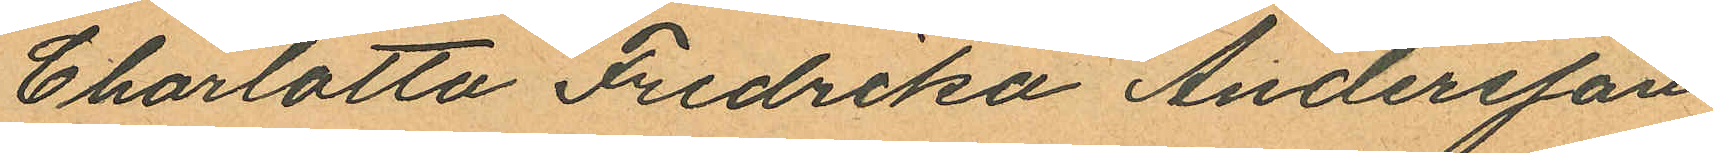Charlotta Fredrika Andersson
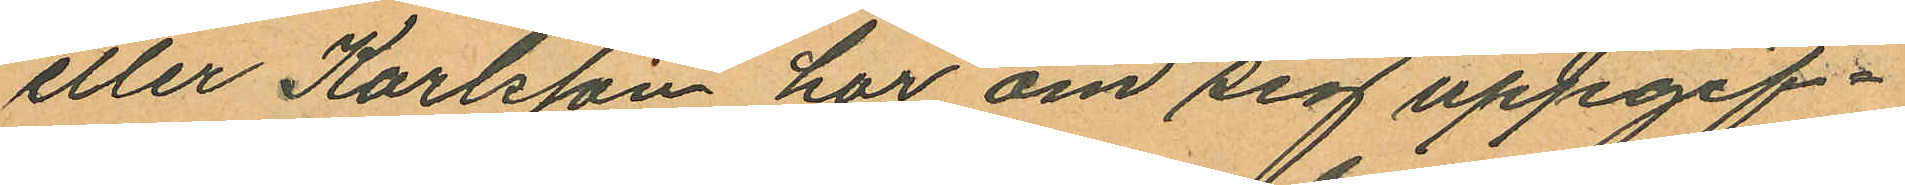eller Karlsson har om sig uppgif¬
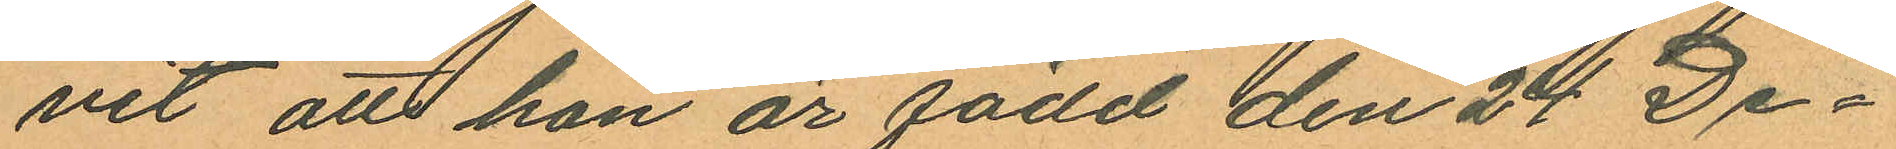vit att hon är född den 24 De¬
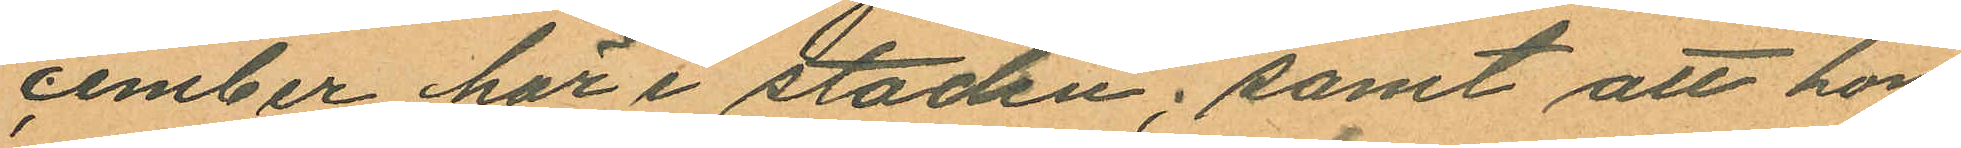cember här i staden; samt att hon
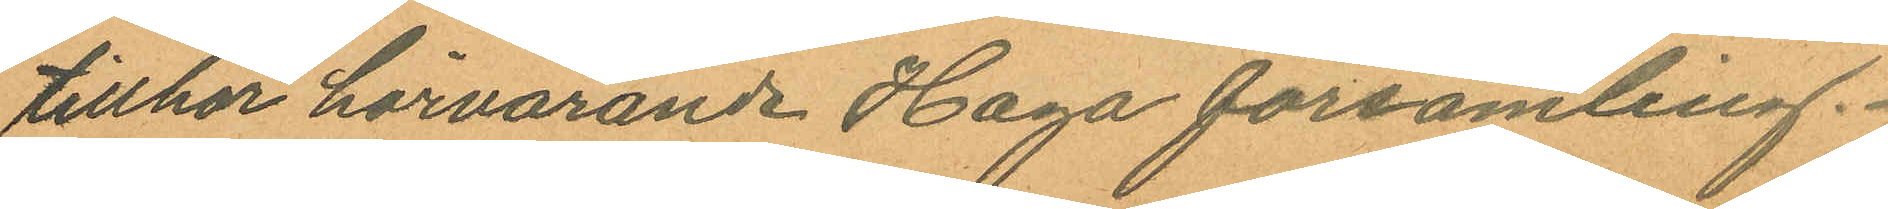tillhör härvarande Haga församling.
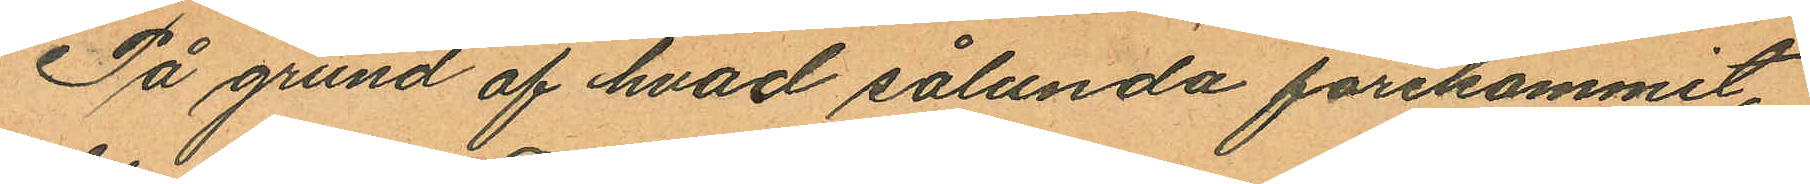På grund af hvad sålunda förekommit,
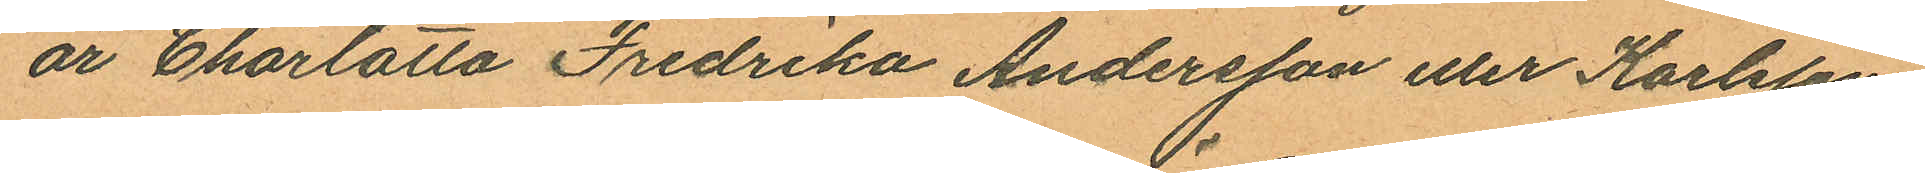är Charlotta Fredrika Andersson eller Karlsson
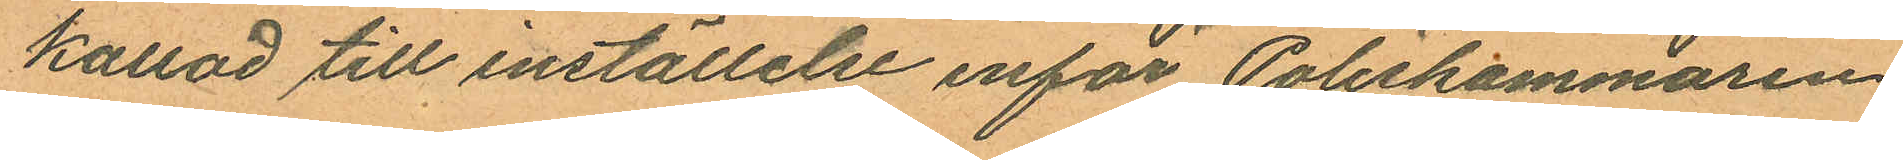kallad till inställelse inför Poliskammaren
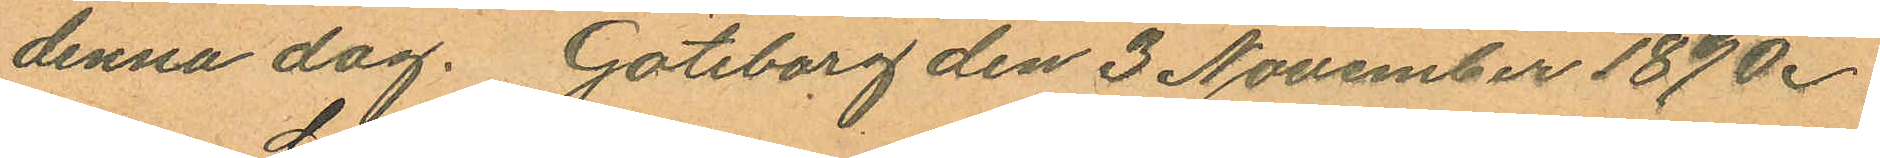denna dag. Göteborg den 3 November 1890.
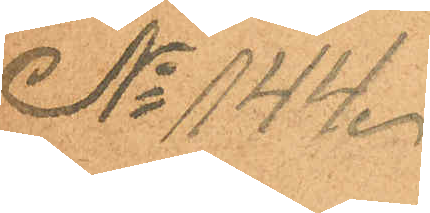No 144.
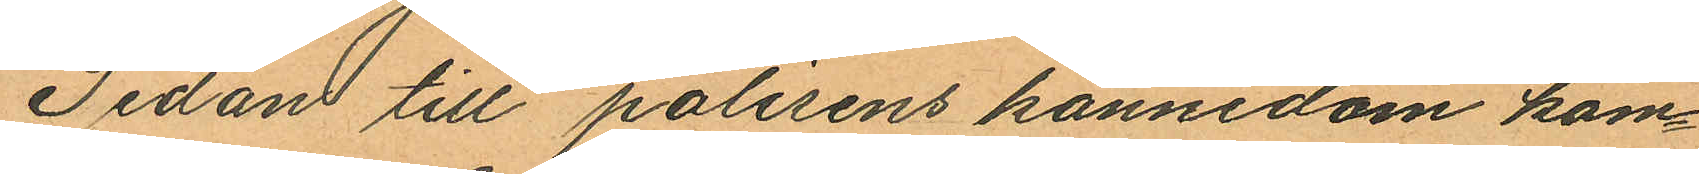Sedan till polisens kännedom kom¬
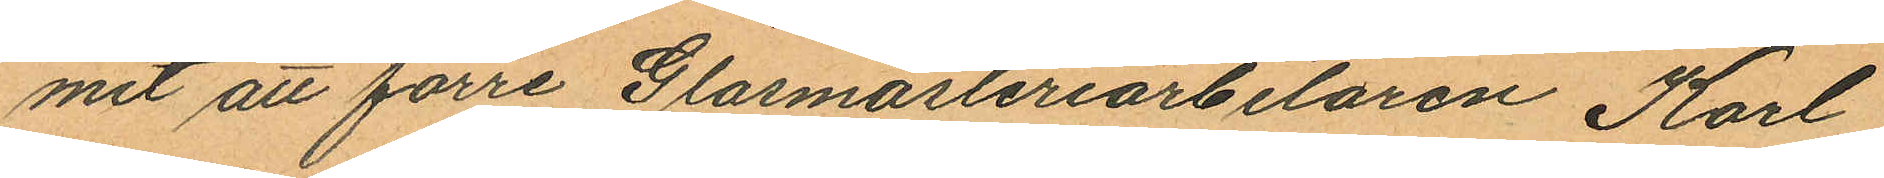mit att förre Glasmästeriarbetaren Karl
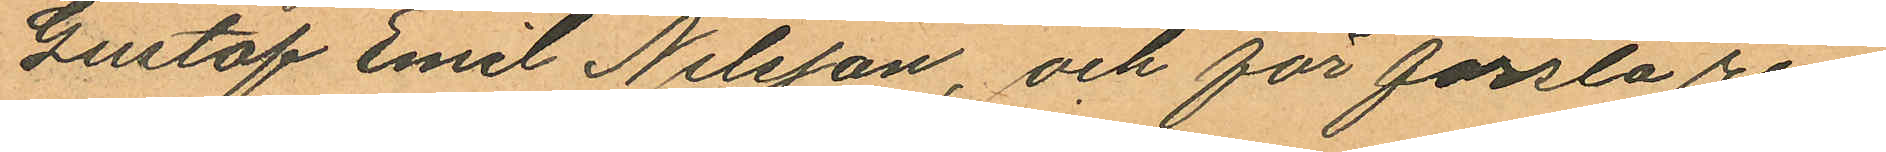Gustaf Emil Nilsson, och för första re¬
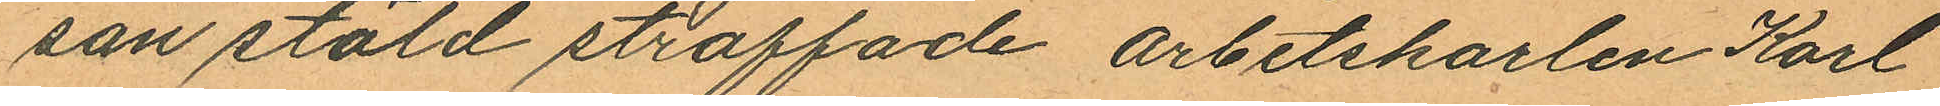san stöld straffade arbetskarlen Karl
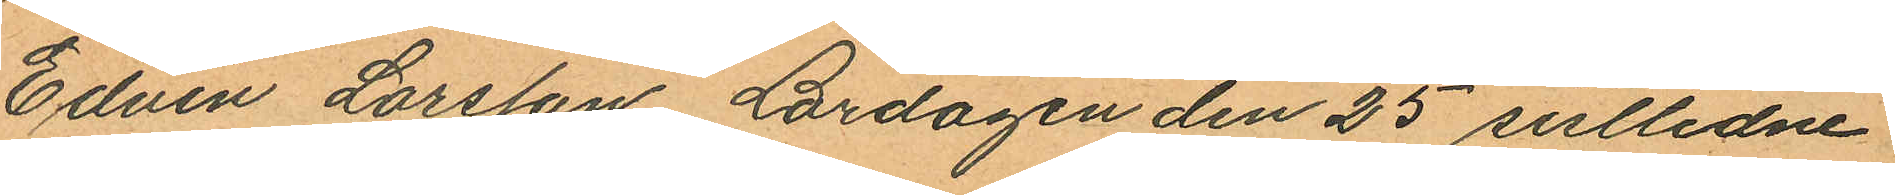Edvin Larsson Lördagen den 25 sistlidne
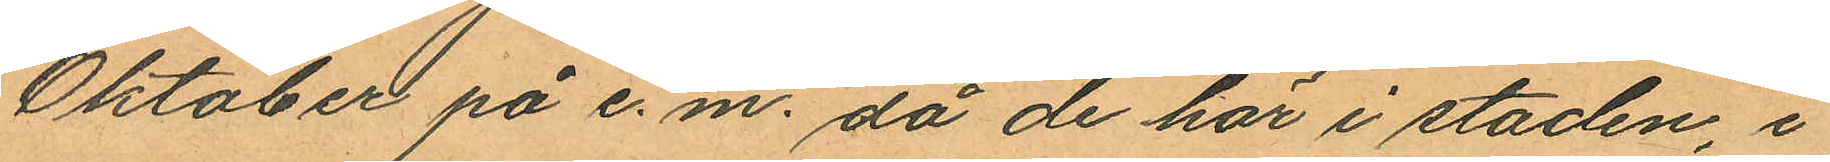Oktober på e.m. då de här i staden, i
